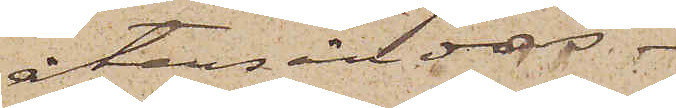återsändas.
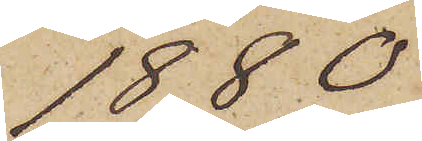1880
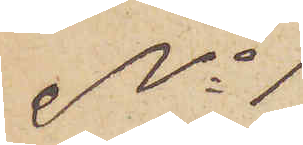No 1
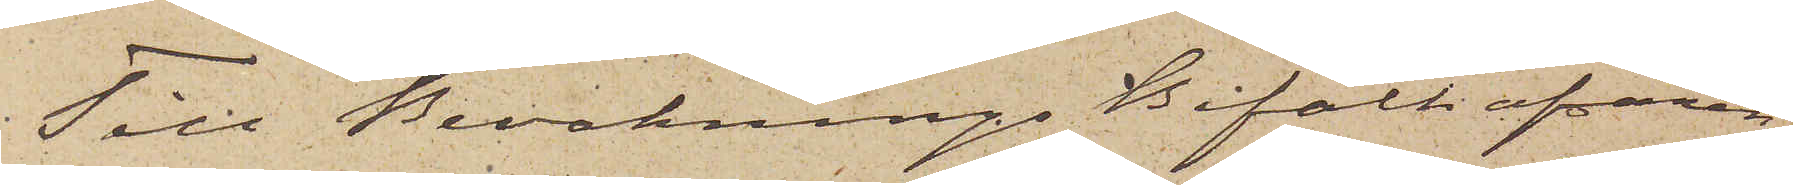Till Bevaknings Befälhafvaren
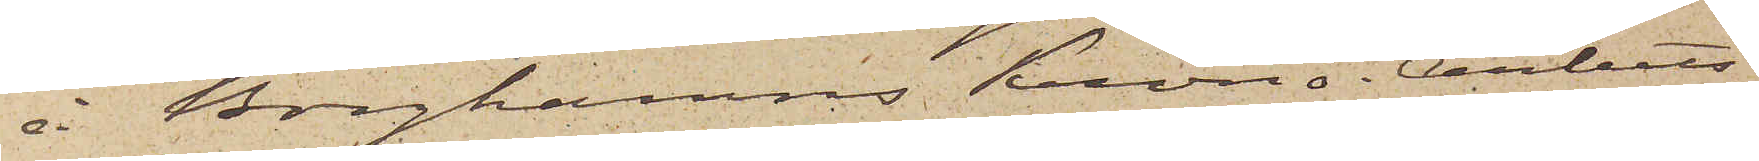i Borghamns Krono-Arbets¬
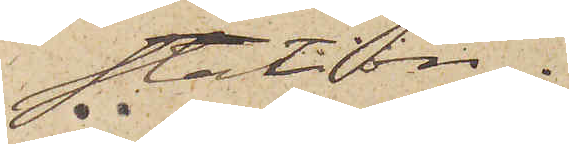station.
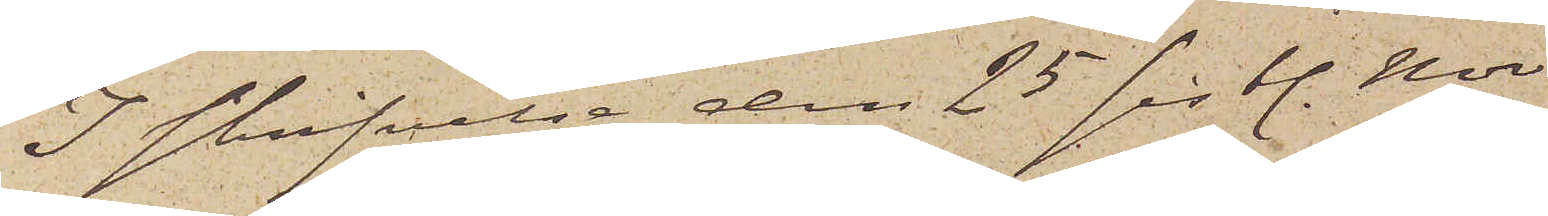I skrifvelse den 25 sistl. Nov.
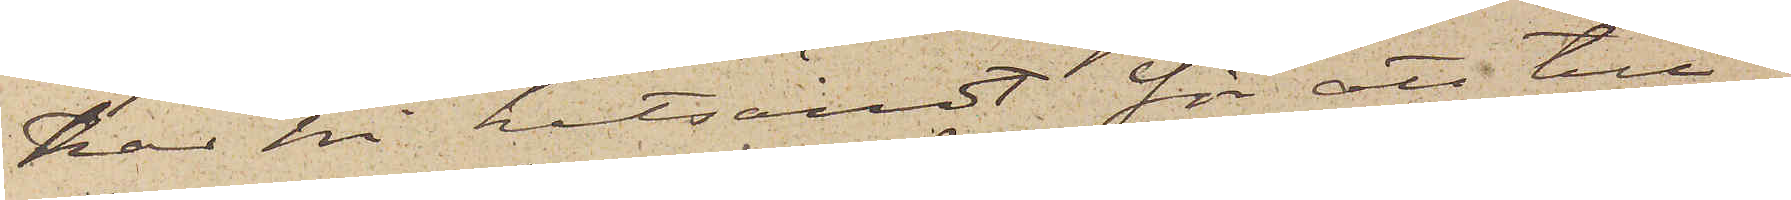har Ni hitsändt för att till¬
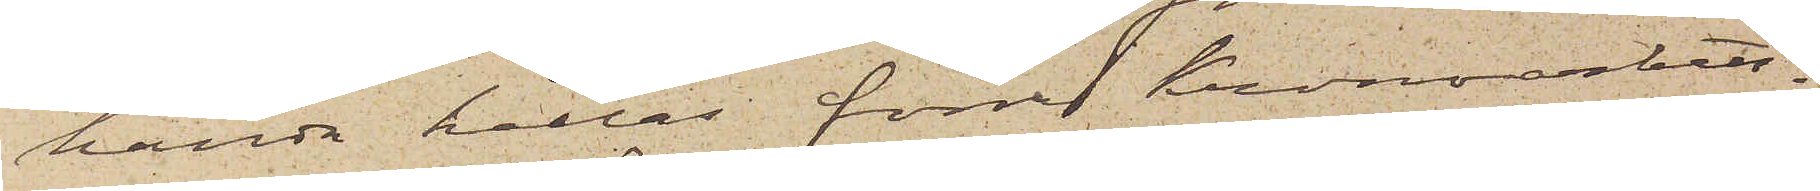handa hållas förre Kronoarbets¬
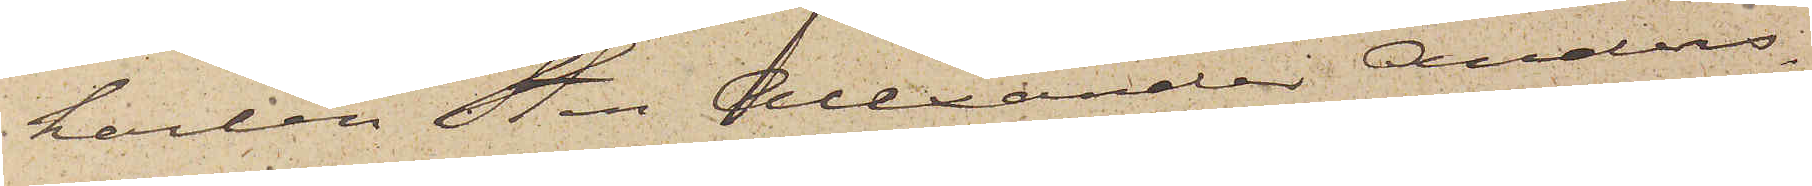karlen Sten Alexander Anders¬
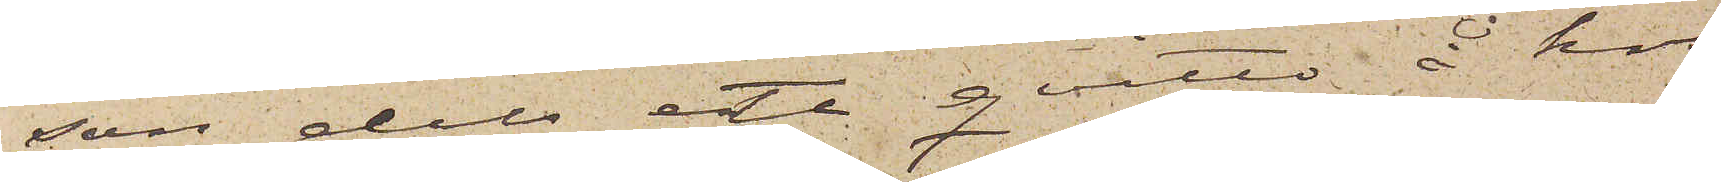son dels ett qvitto å hos
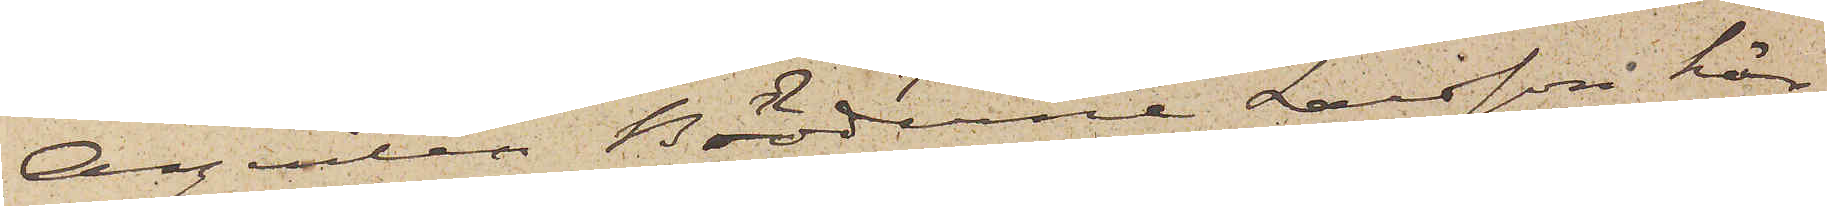Agenten Bröderna Larsson här¬
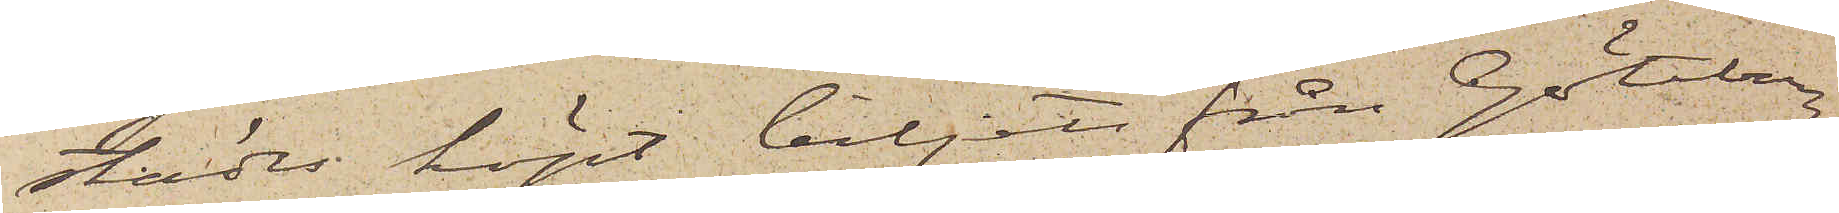städes köpt biljett från Göteborg
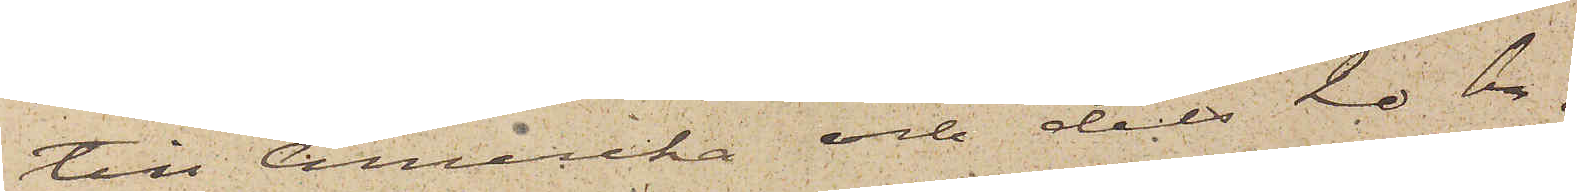till Amerika och dels 20 kr.
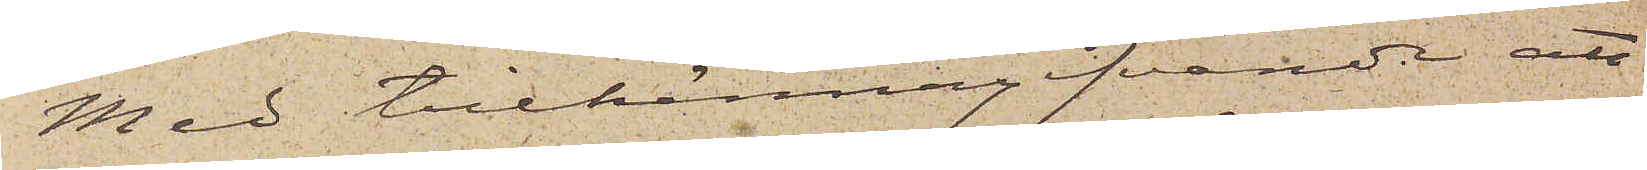Med tillkännagifvande att
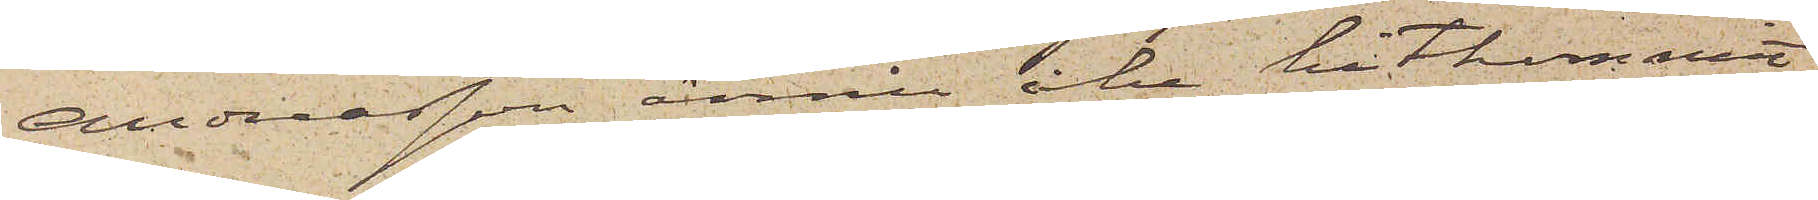Andersson ännu icke hitkommit
